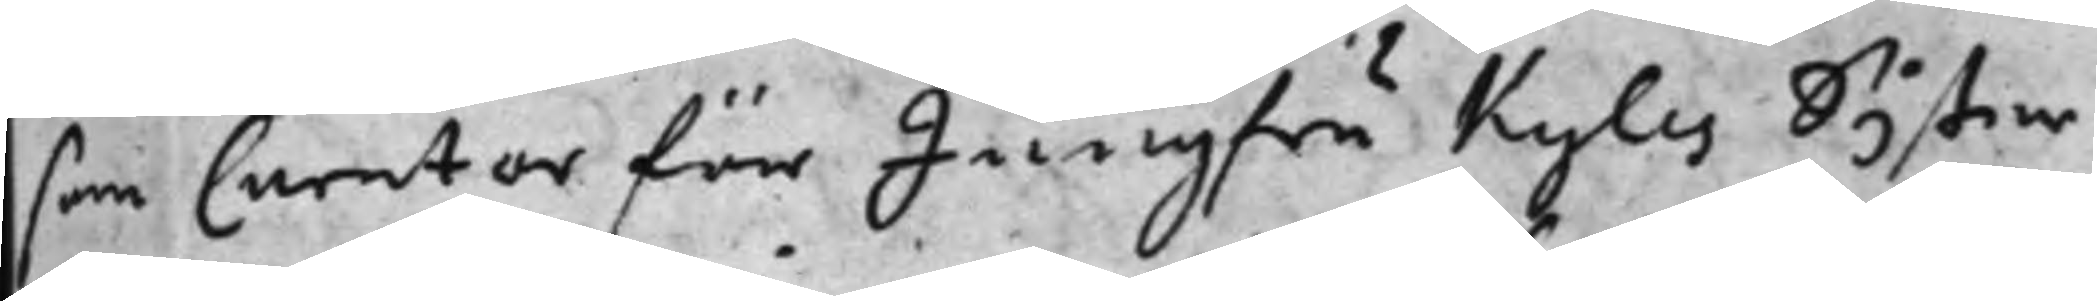som Curator för Jungfru Kyles syster¬
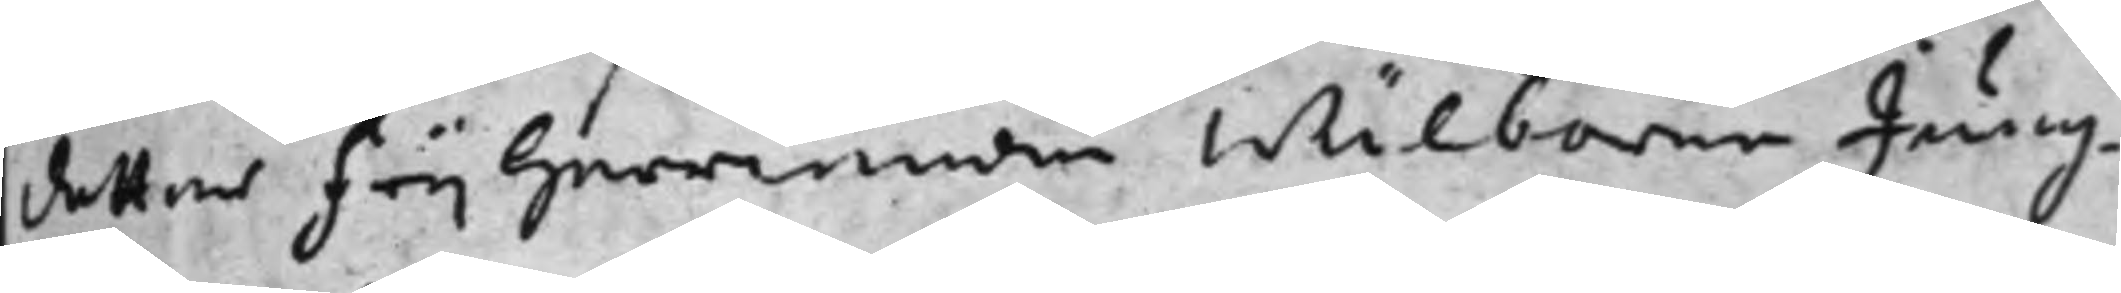dotter frijherrinnan wälborne Jung¬
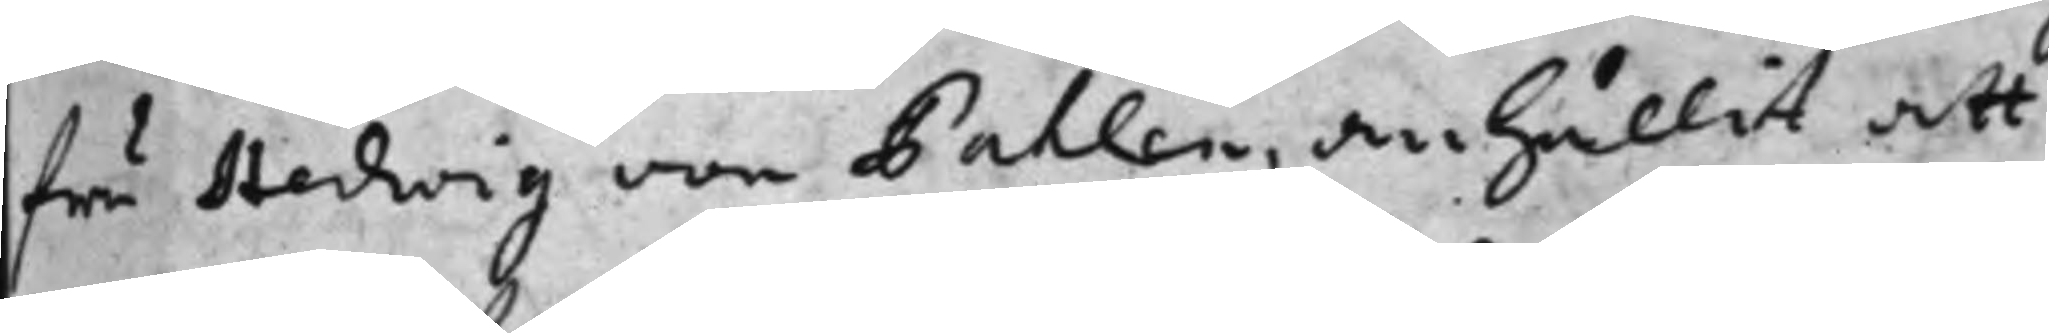fru Hedwig von Pahlen, anhållit att
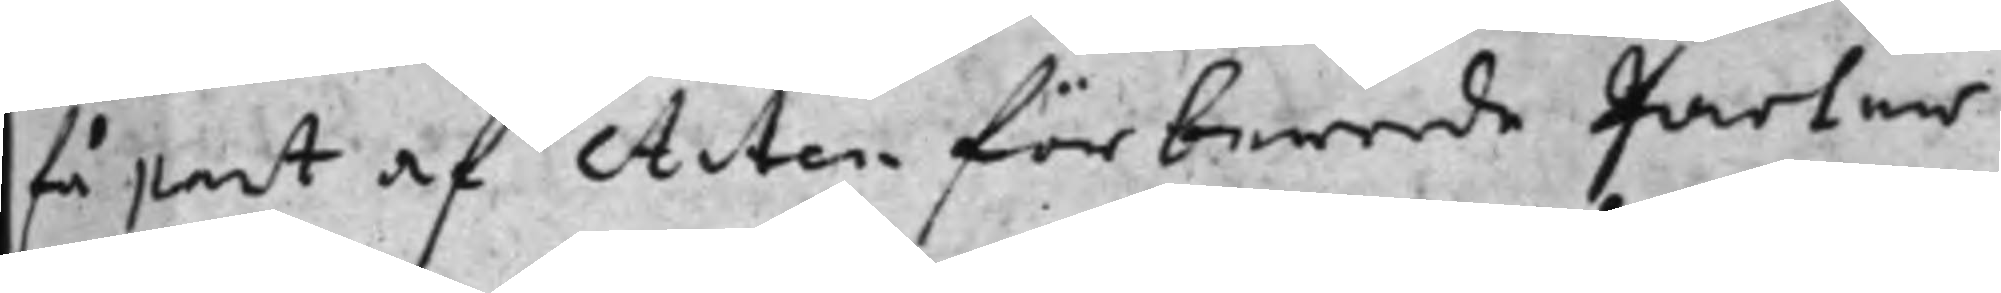få part af Acten för berörde parter
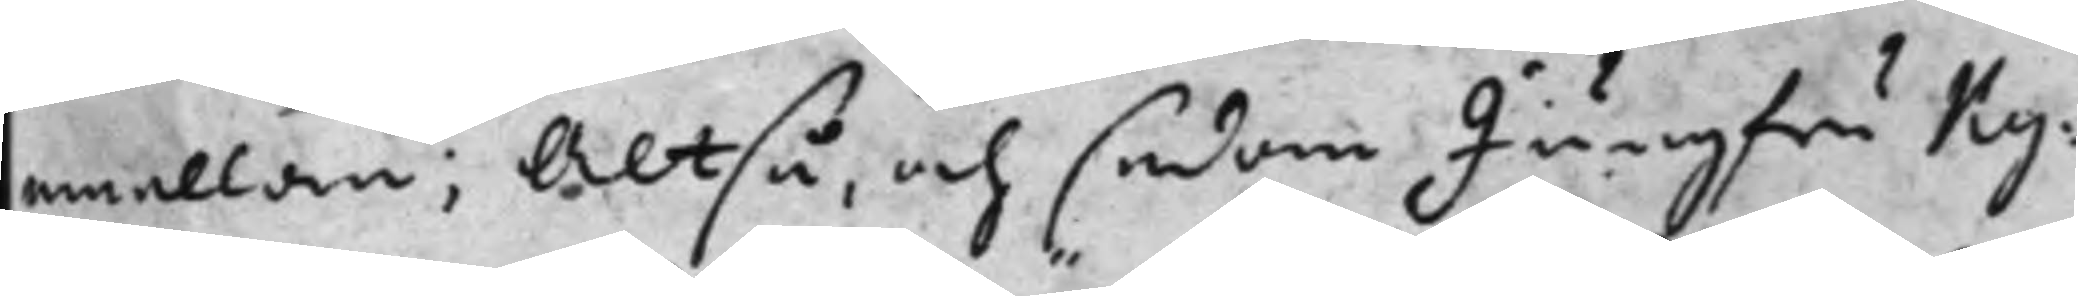emellan; Altså, och sedan Jungfru Ky¬
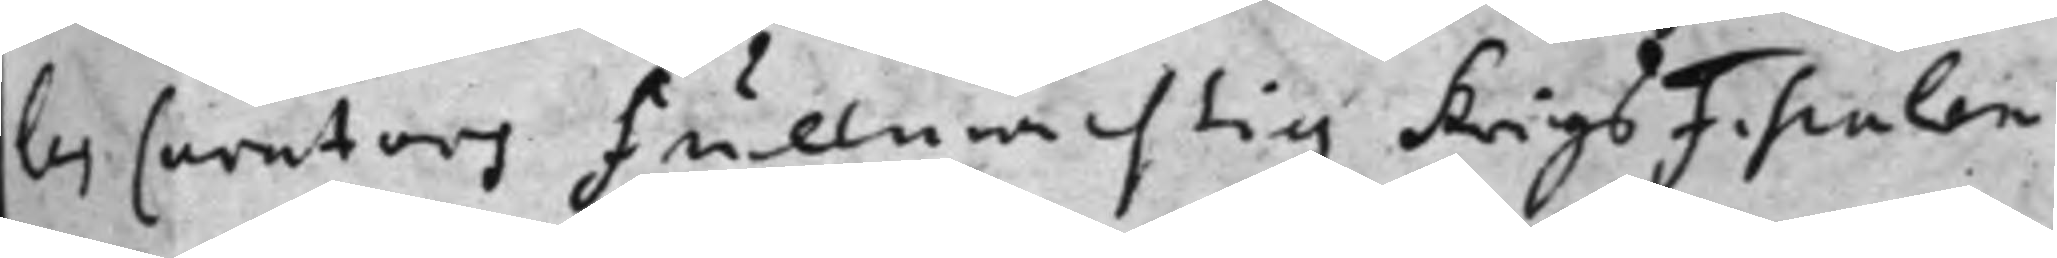les Curators fullmächtig KrigsFiscalen
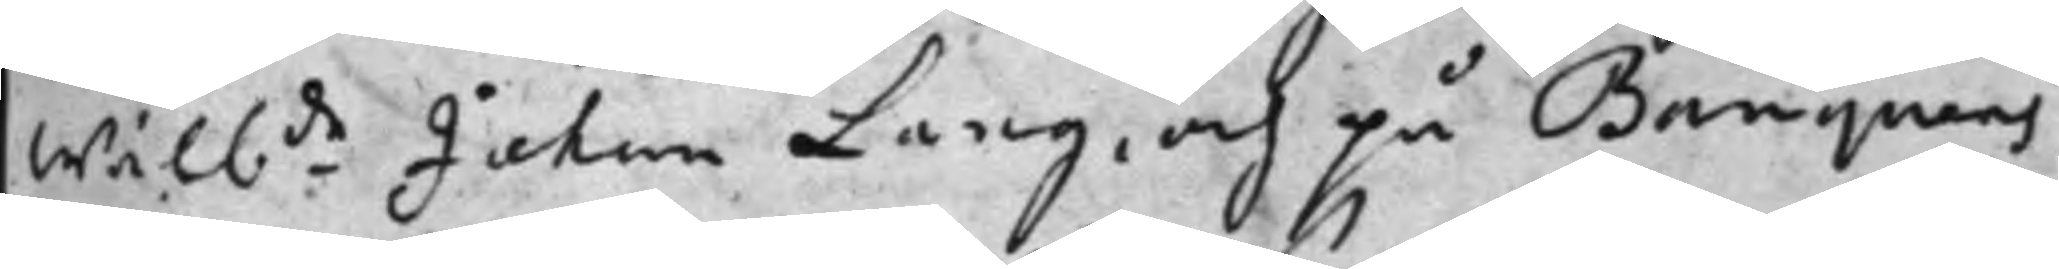wälbde Johan Lang, och på Banquens
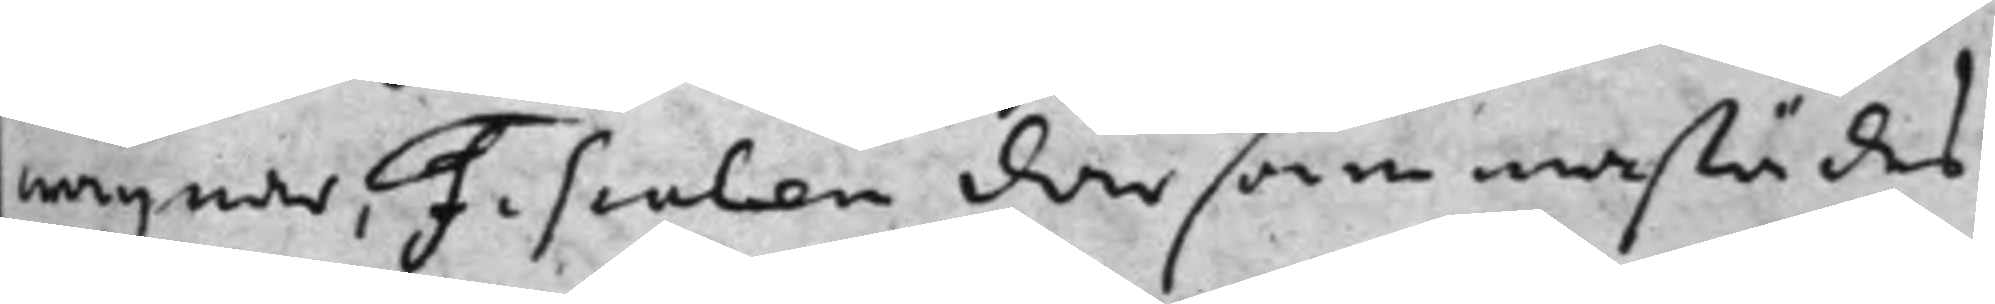wägnar, Fiscalen därsammastädes
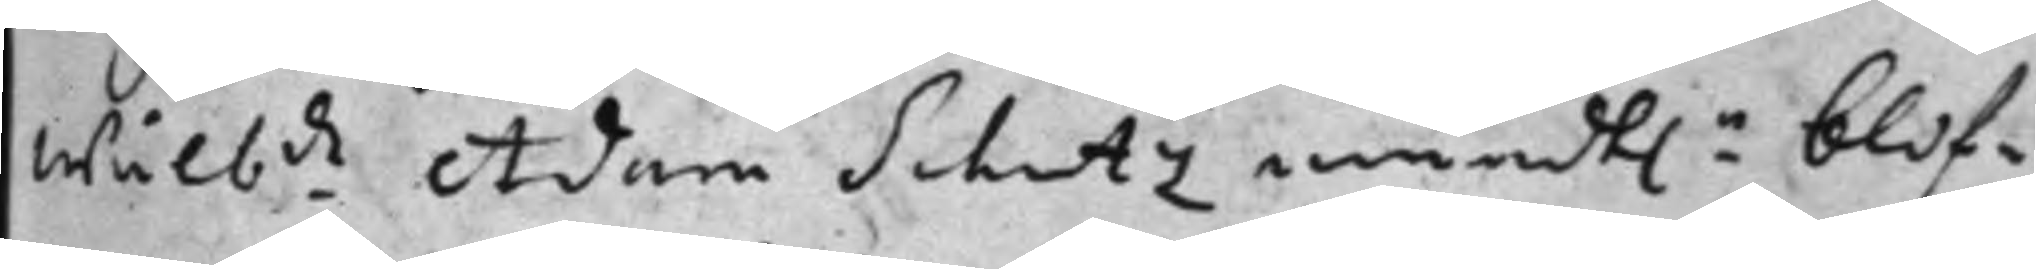wälbde Adam Schutz mundt.n blif¬
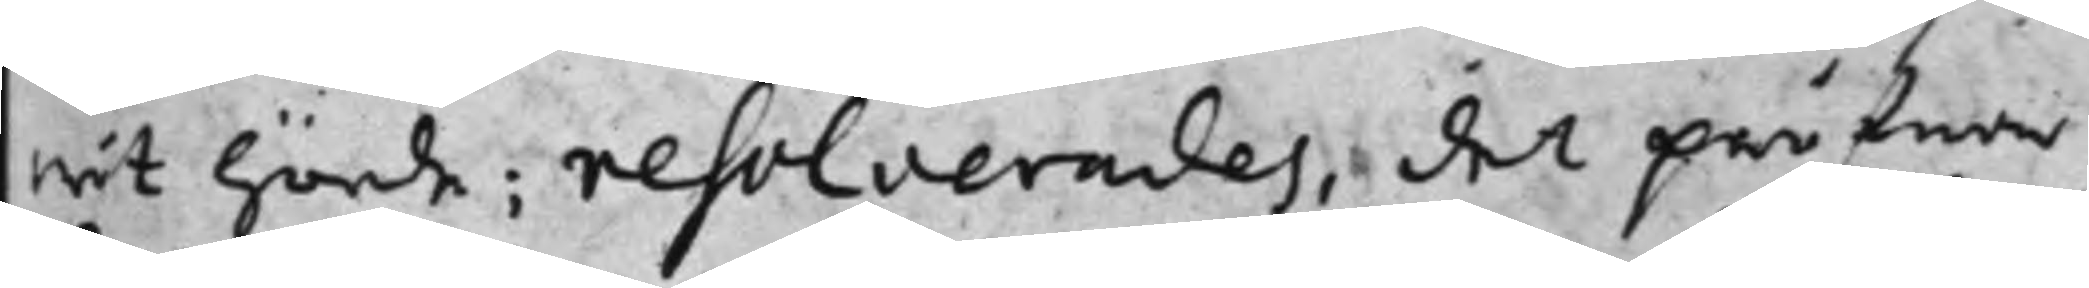wit hörde; resolverades, det pröfwa
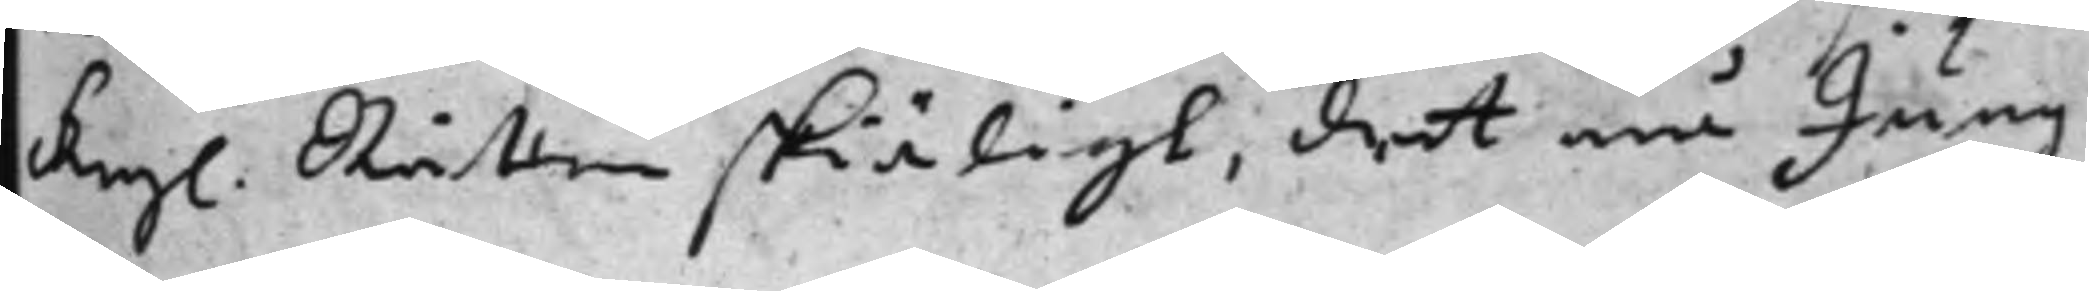Kongl. Rätten skiäligt, det må Jung¬
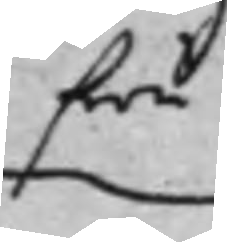fru
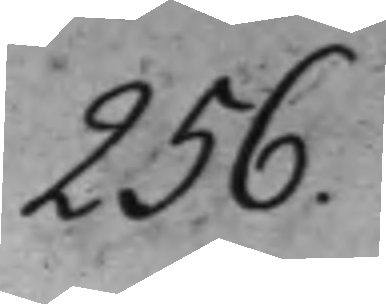256.
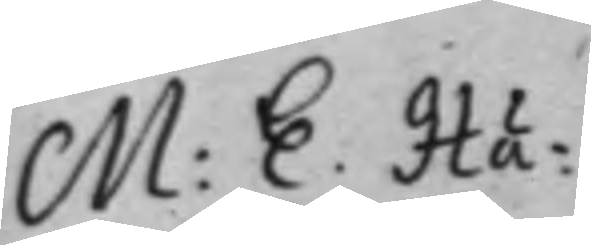M: E. Hä¬
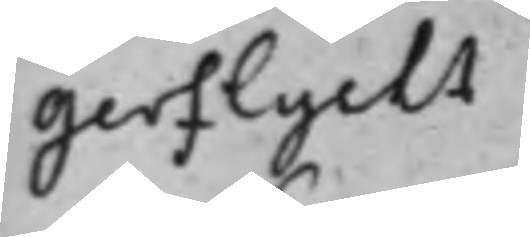gerflycht
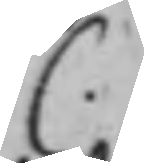C.
